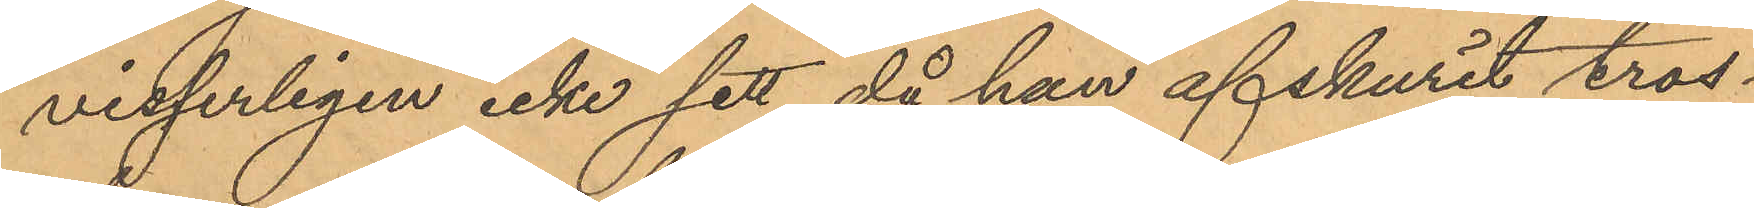visserligen icke sett då han afskurit tros¬
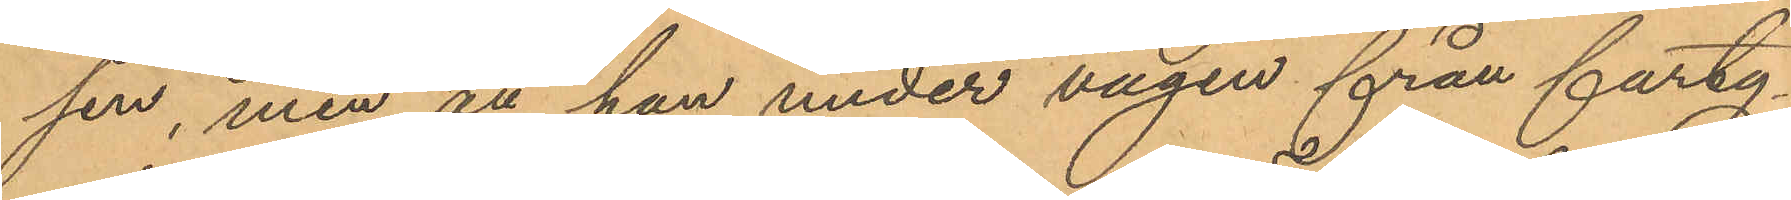sen, men att han under vägen från farty¬
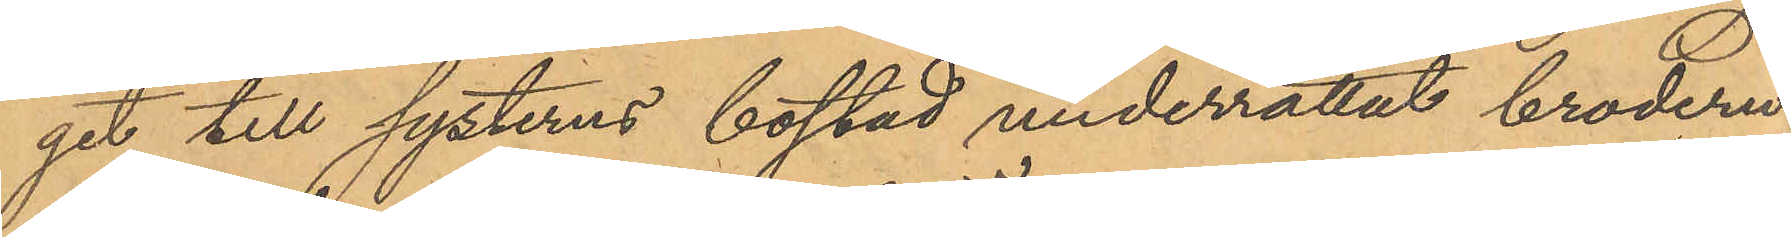git till systerns bostad underrättat brodern
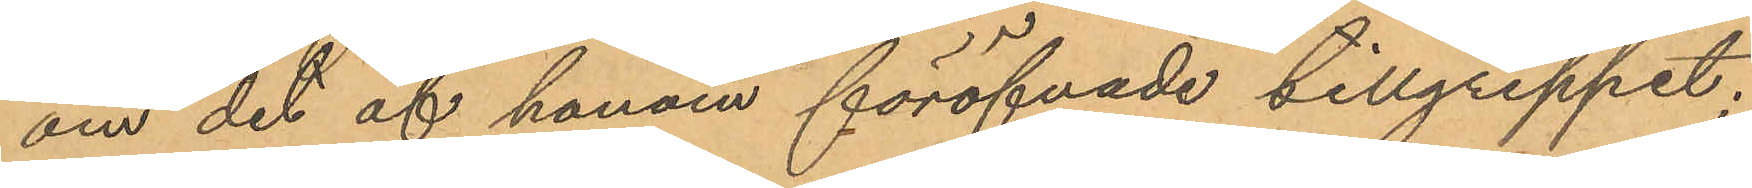om det af honom föröfvade tillgreppet;
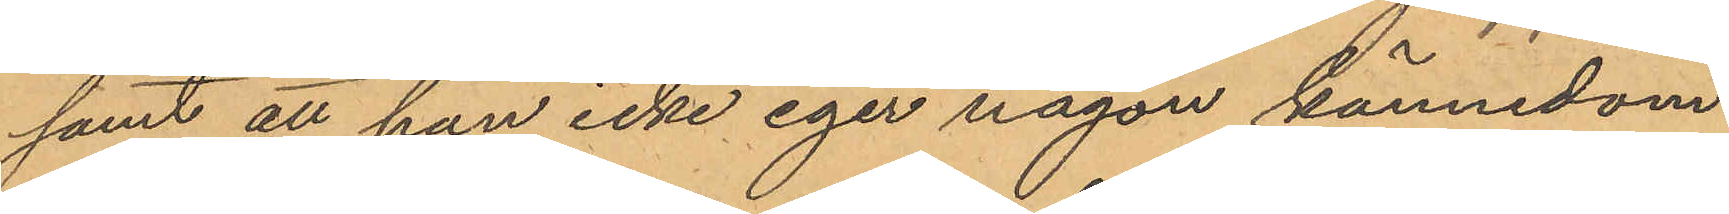samt att han icke eger någon kännedom
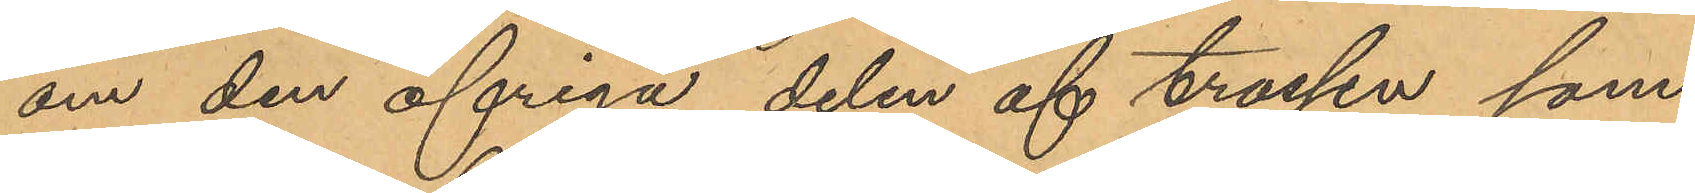om den öfriga delen af trossen, som
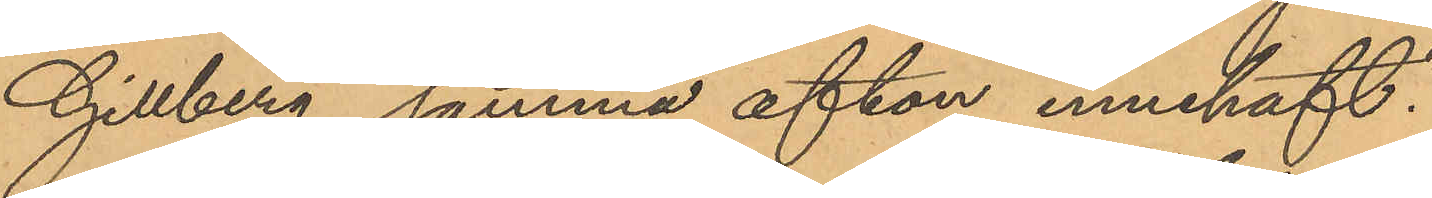Gillberg samma afton innehaft.
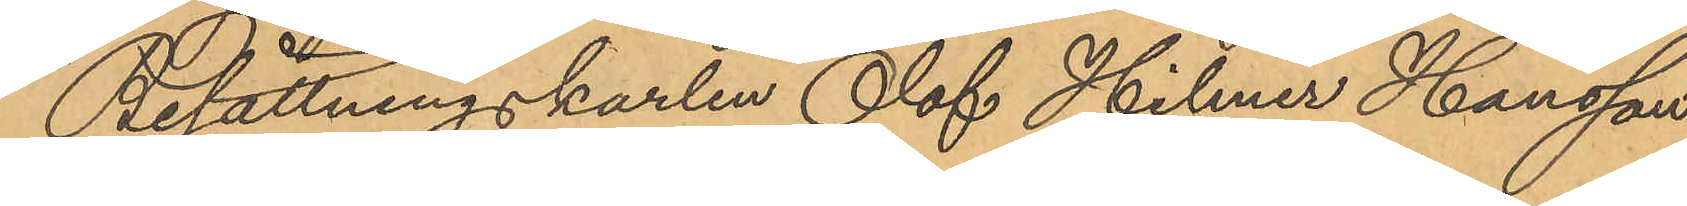Besättningskarlen Olof Hilmer Hansson,
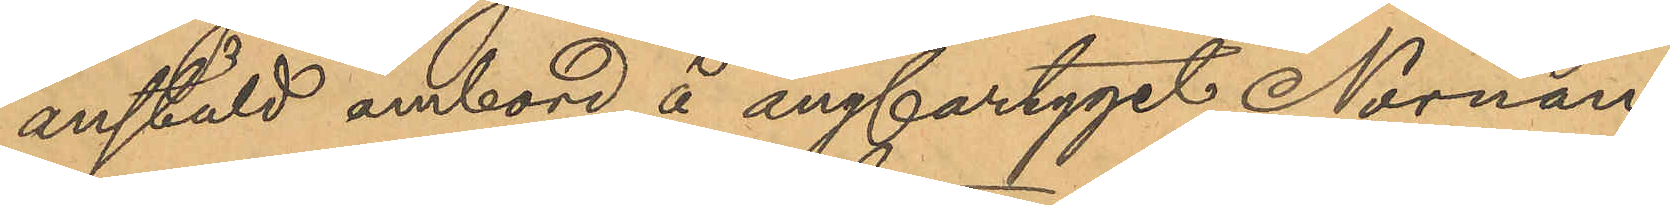anstäld ombord å ångfartyget Nornan
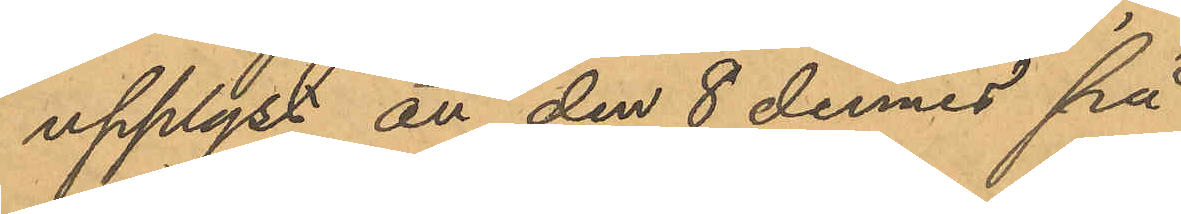upplyst att den 8 dennes på
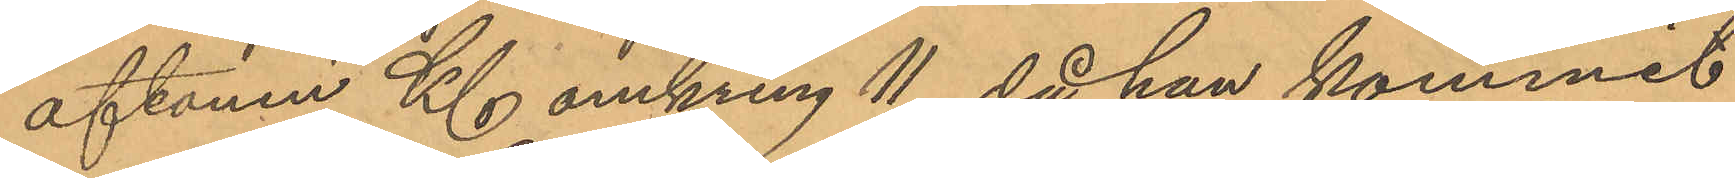aftonen Kl omkring 11, då han kommit
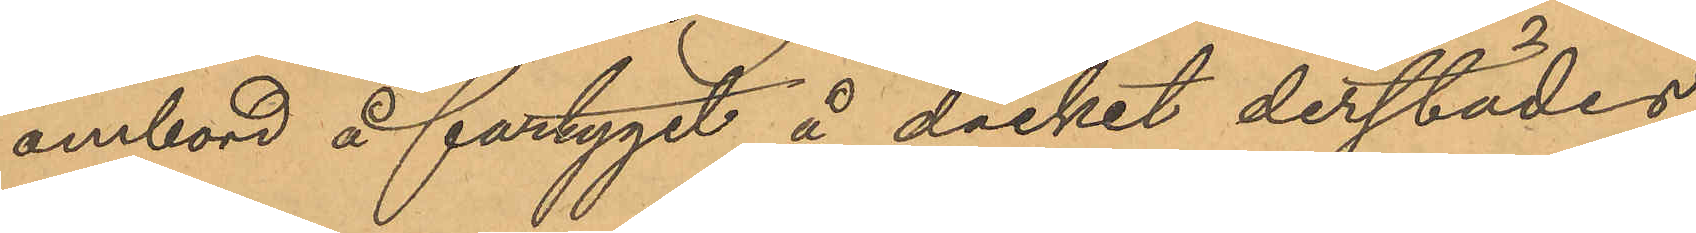ombord å fartyget å däcket derstädes
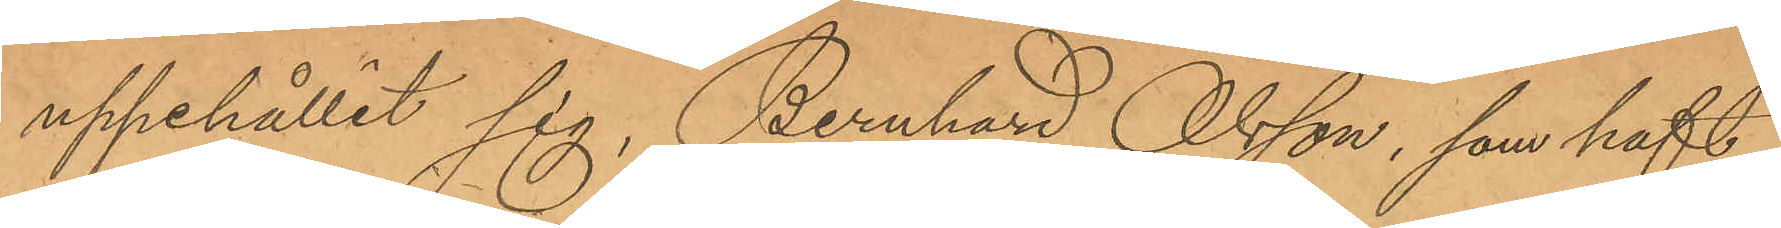uppehållit sig, Bernhard Olsson, som haft
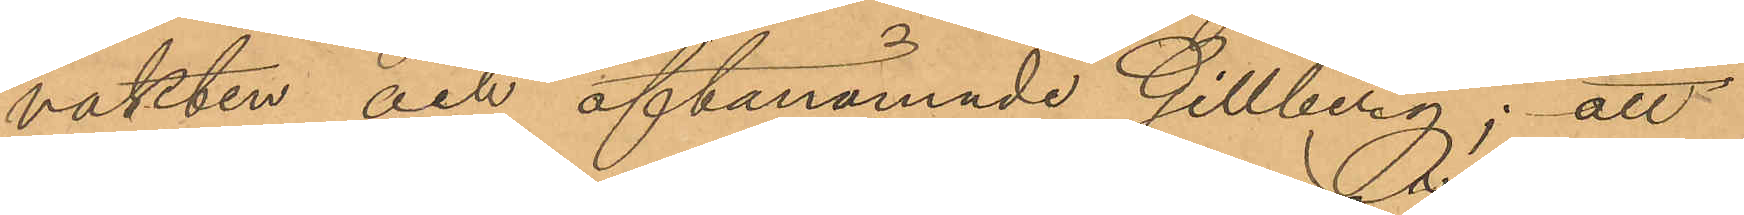vakten och oftanämnde Gillberg; att
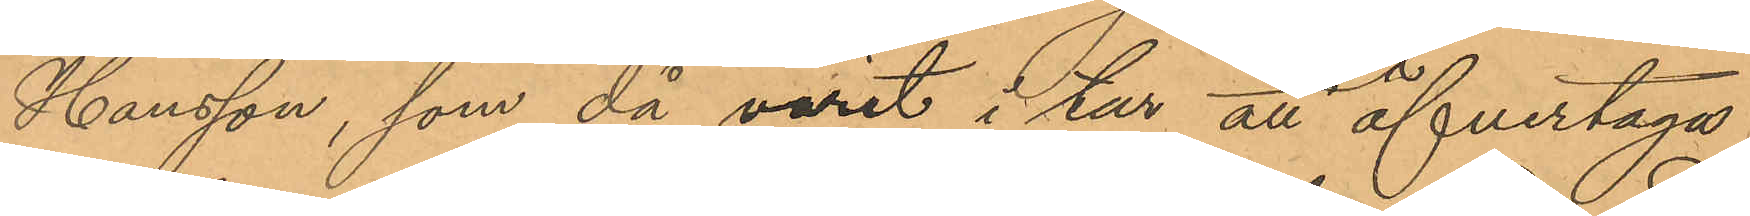Hansson, som då varit i tur att öfvertaga
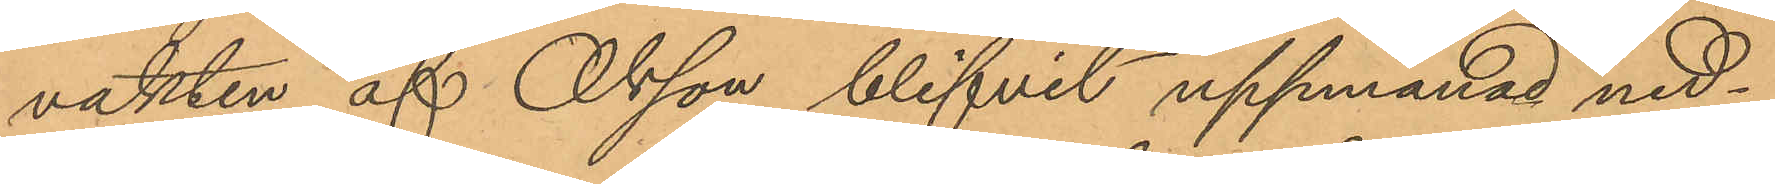vakten af Olsson blifvit uppmanad ned¬
